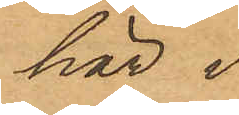här i
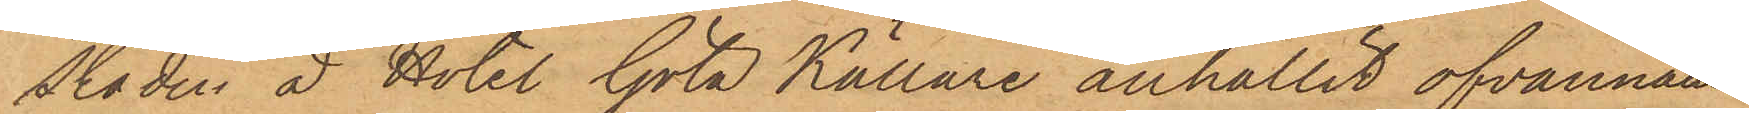staden å Hotel Göta Källare anhållit ofvannämn¬
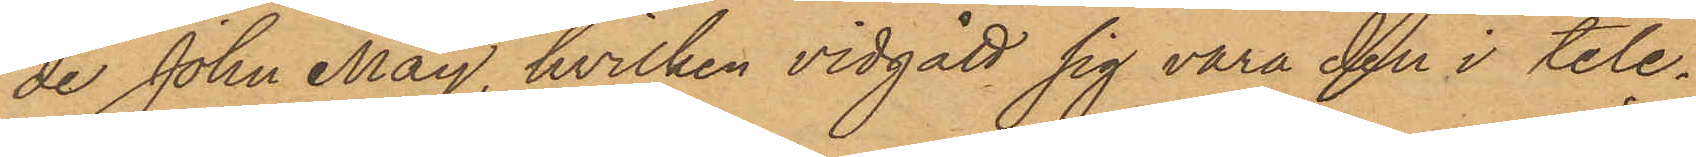de John May, hvilken vidgått sig vara den i tele¬
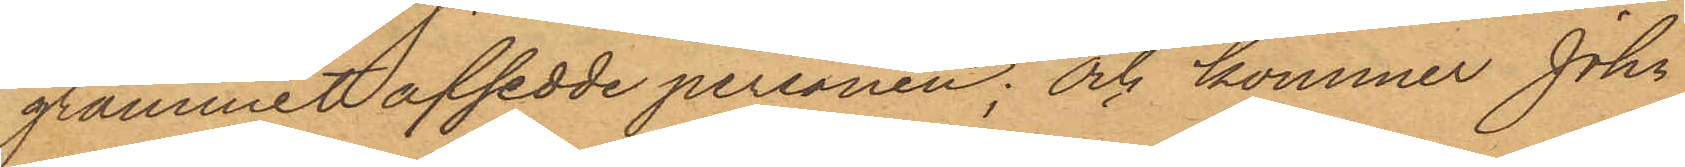grammet afsedde personen; och kommer John
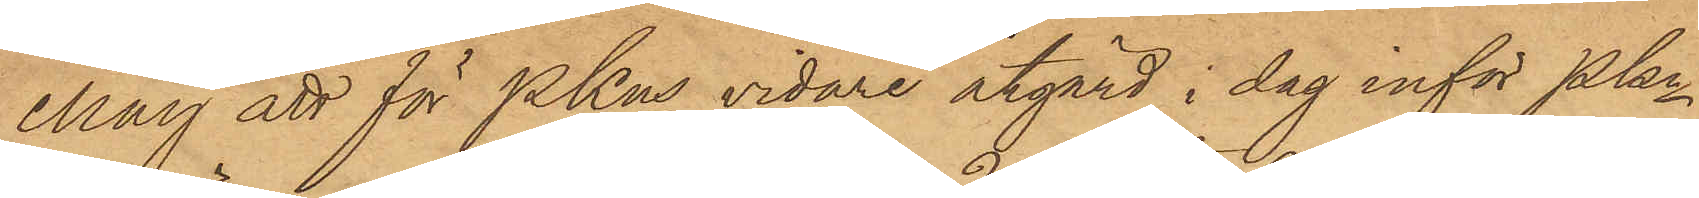May att för PKns vidare åtgärd i dag inför Pkn
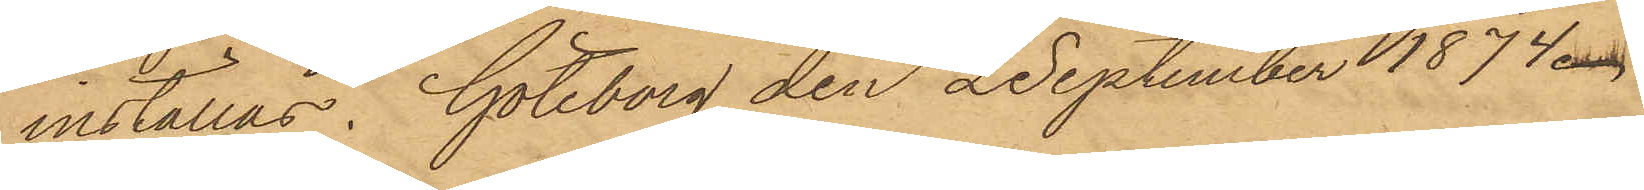inställas. Göteborg den 2 september 1874.
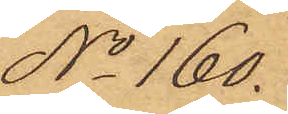No 160.
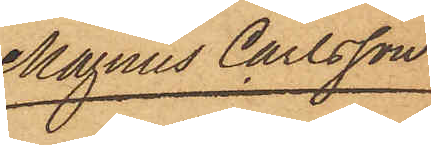Magnus Carlsson
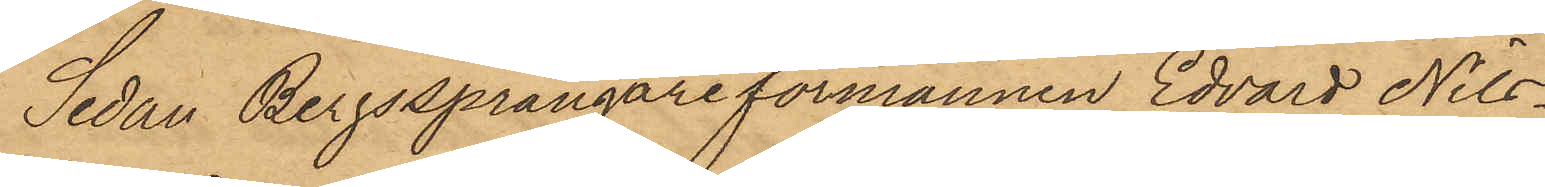Sedan Bergssprängareförmannen Edvard Nils¬
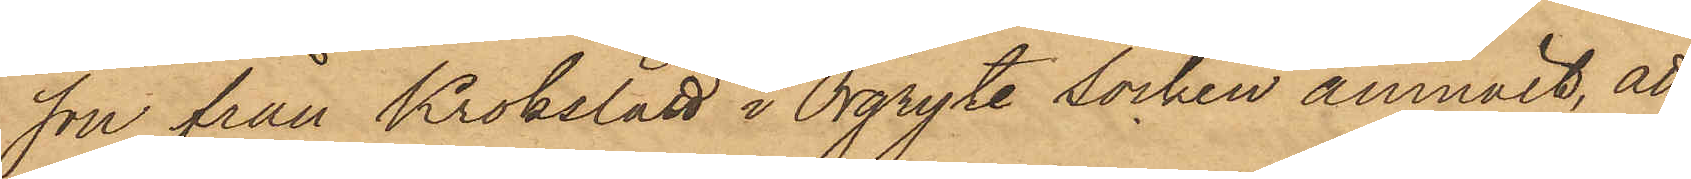son från Krokslätt i Örgryte Socken anmält, att
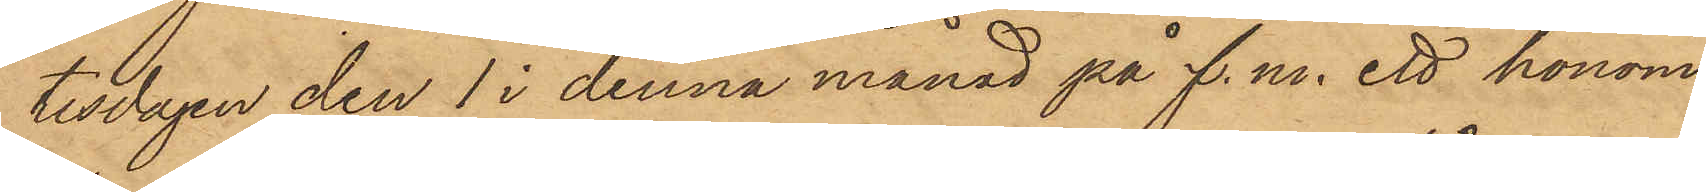tisdagen den 1 i denna månad på f.m. ett honom
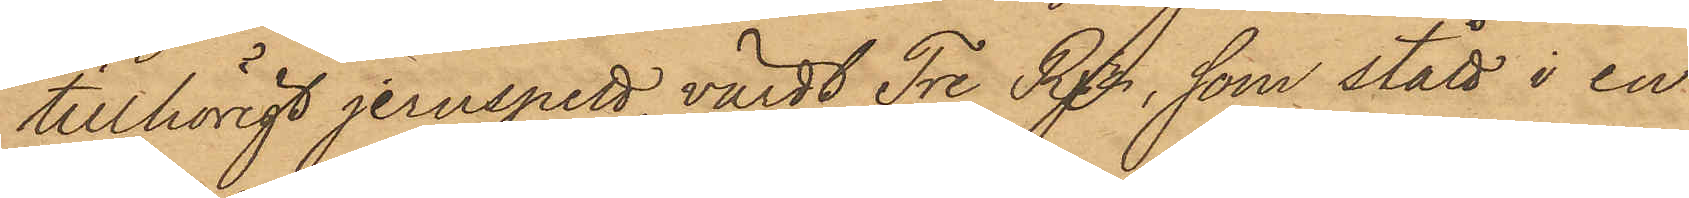tillhörigt jernspett värdt Tre Rdr, som stått i en
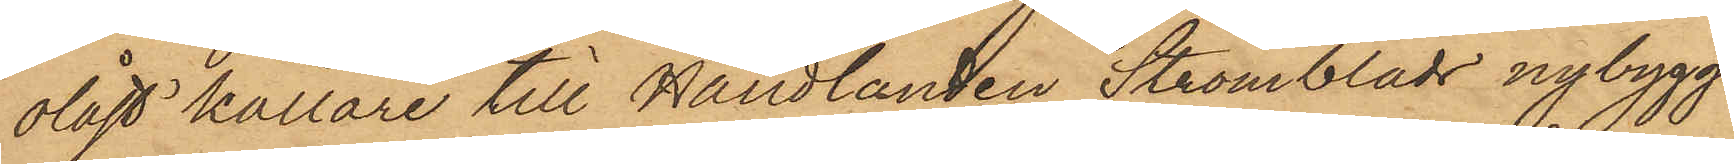olåst källare till Handlanden Strömblads nybygg¬
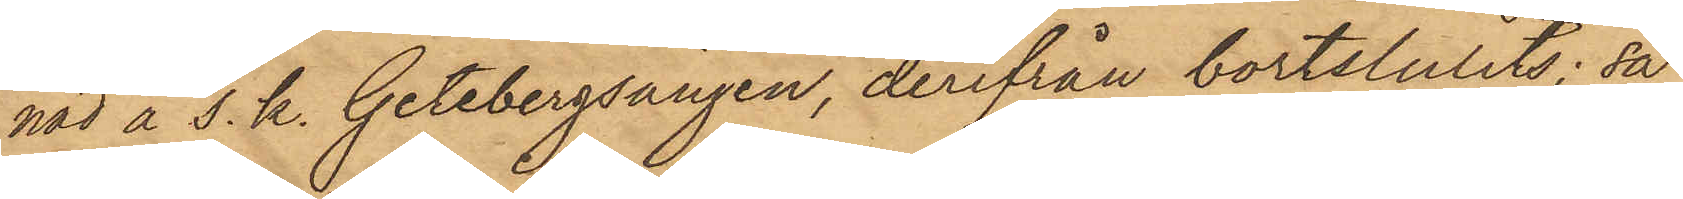nad å s.k. Getebergsängen, derifrån bortstulits; så
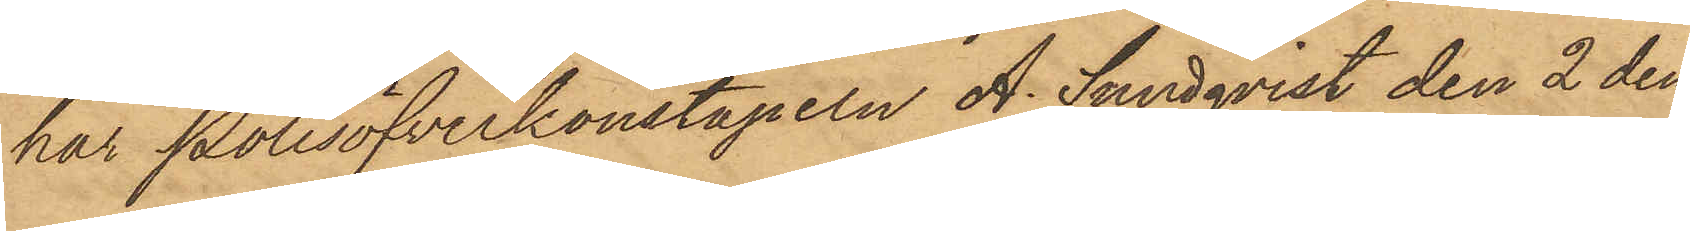har Polisöfverkonstapeln A. Sundqvist den 2 den¬
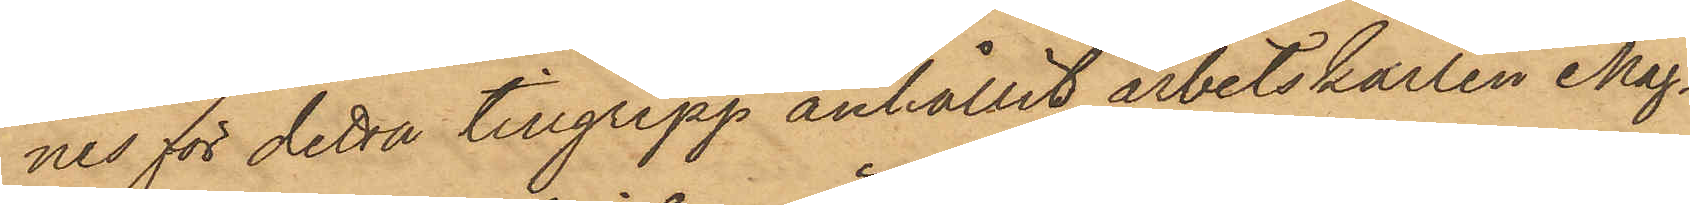nes för detta tillgrepp anhållit arbetskarlen Mag¬
